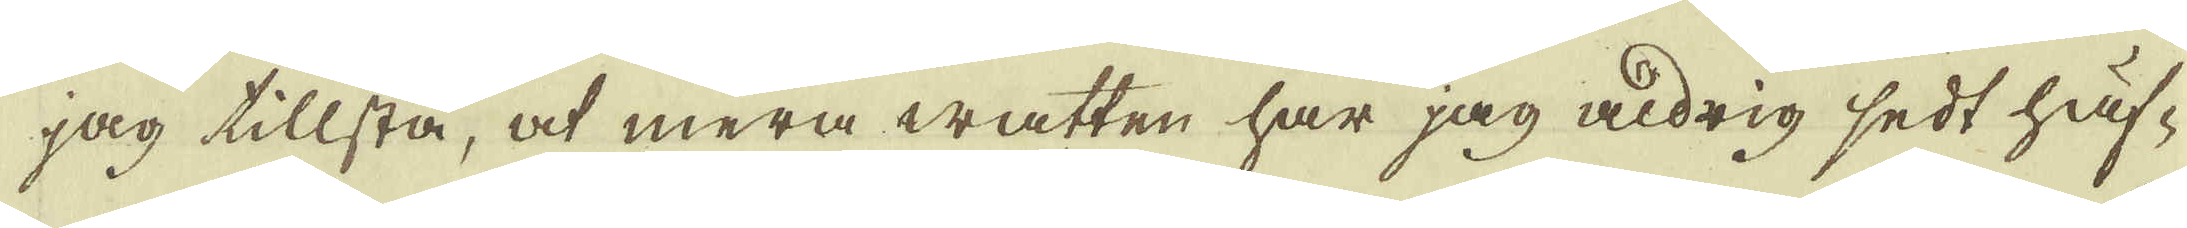jag tillstå, at mera watten har jag aldrig sedt häf-
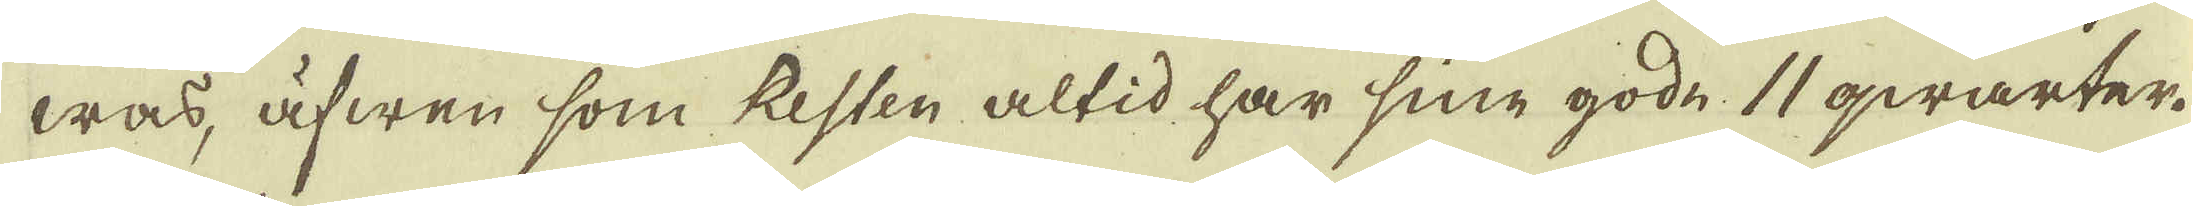was, äfwen som Resten altid har sine gode. 11 qwarter.
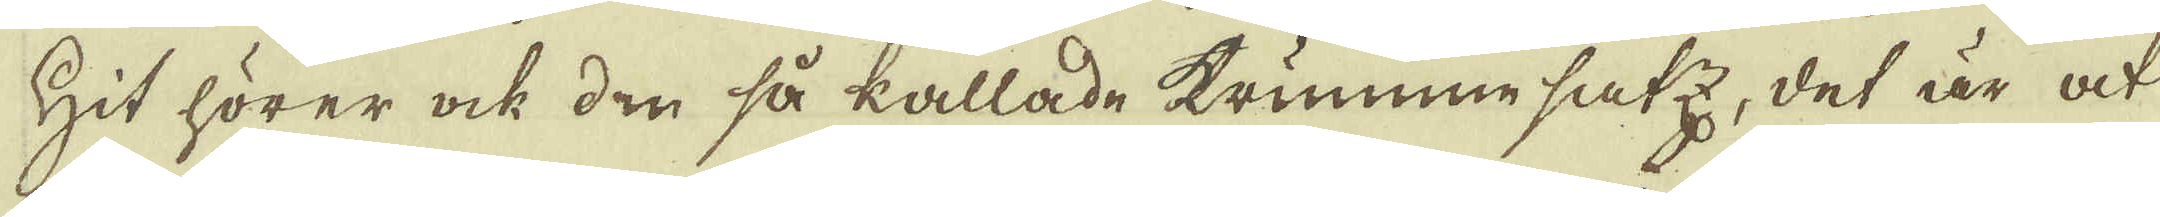Hit hörer ock den så kallade krummesatz, det är at
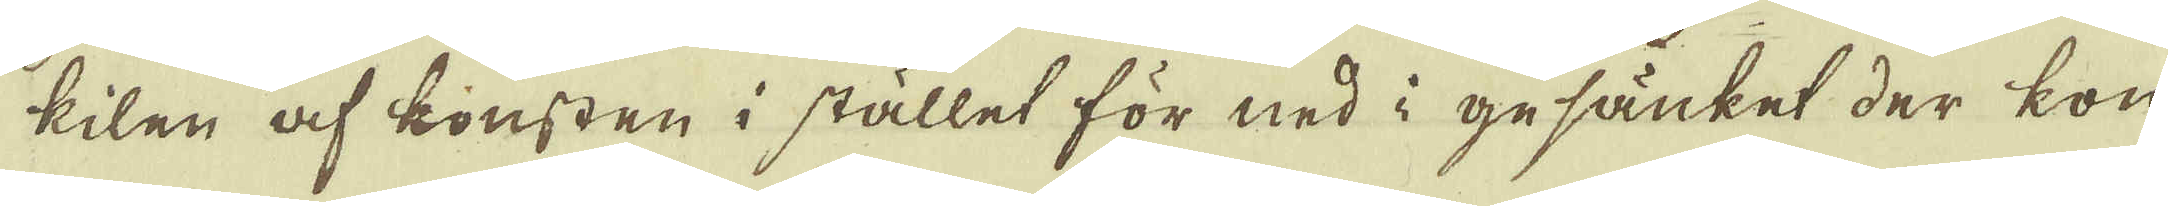kilen af konsten i stället för ned i gesänket der kon-
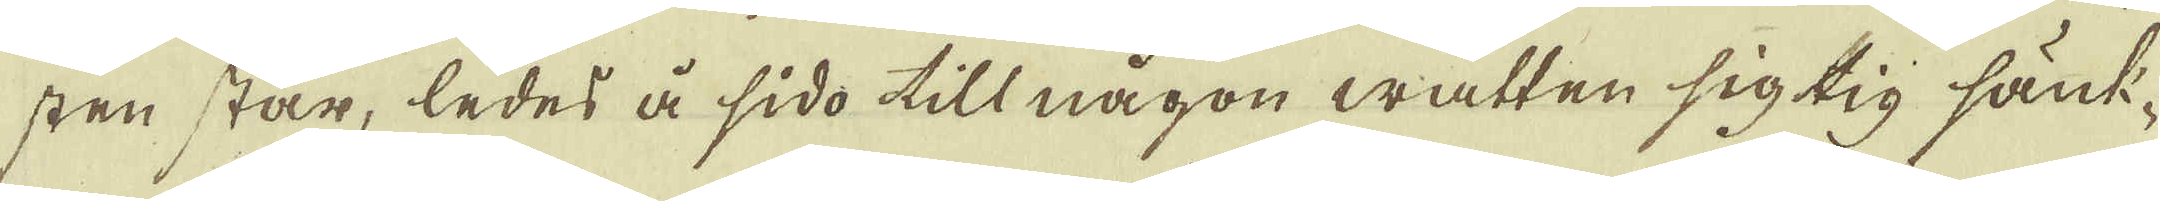sten står, ledes å sido till någon watten sig tig sänk-
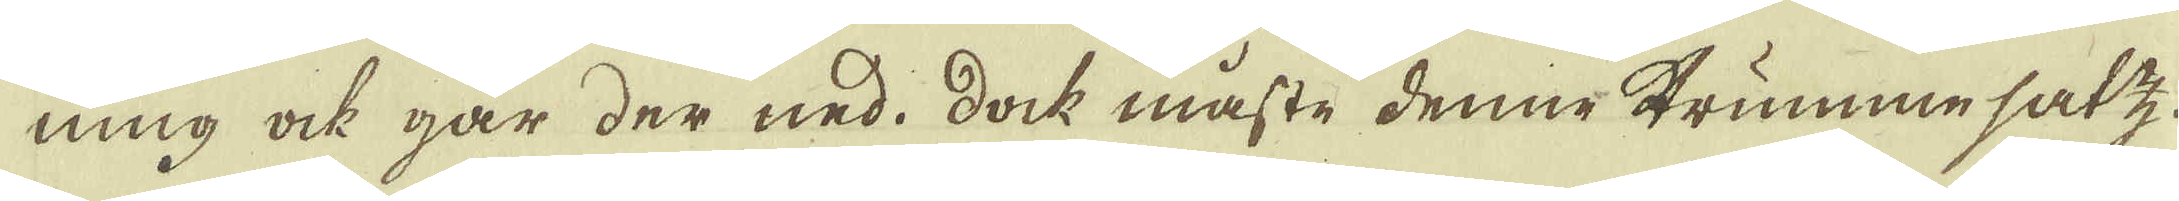ning ock går der ned. Dock måste denne trummesatz
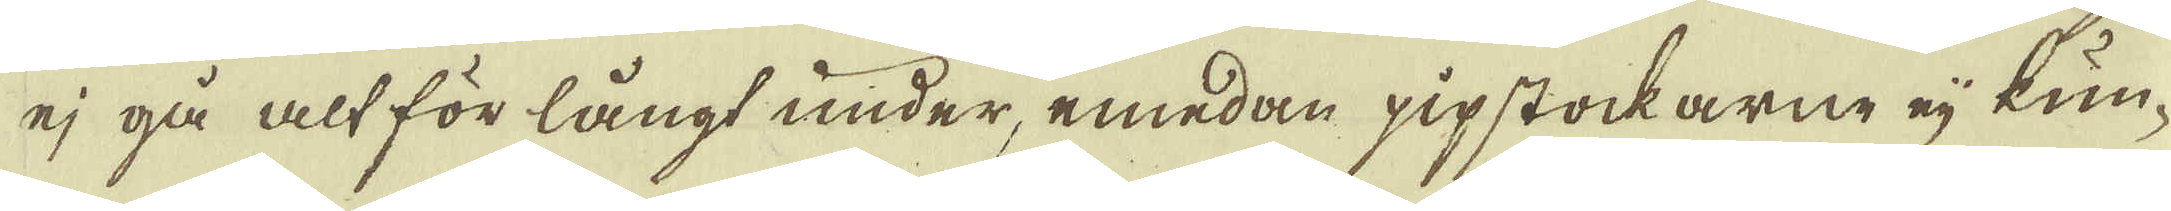ej gå alt för långt under, emedan pipstockarne eij kun-
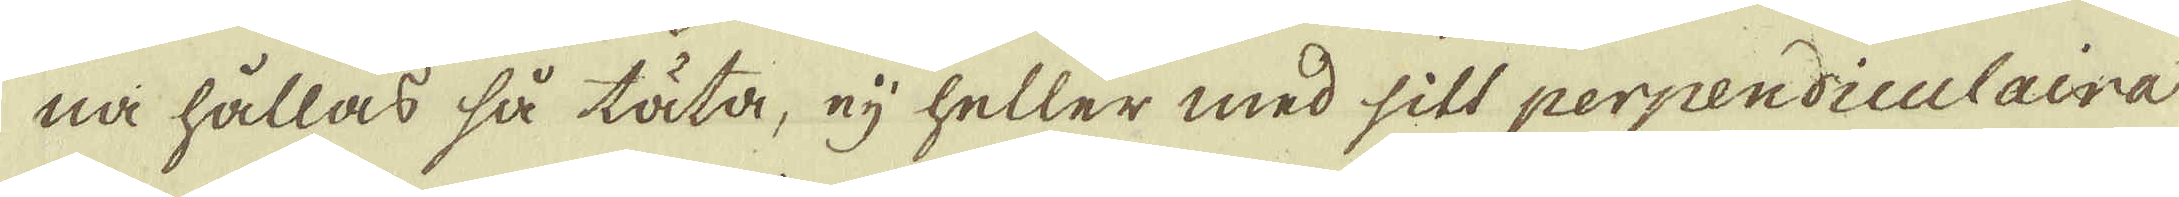na hållas så täta, eij heller med silt perpendiculaira
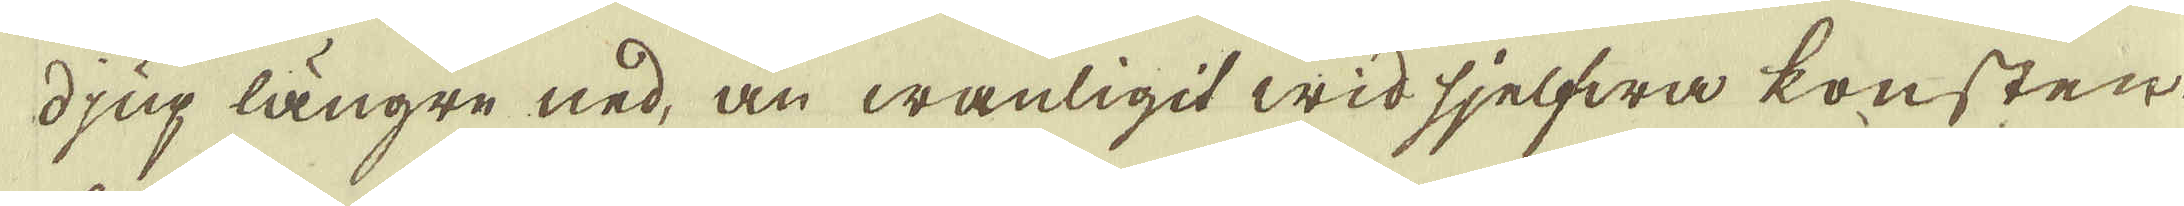djup längre ned, än wanligit wid sjelfwa konsten.
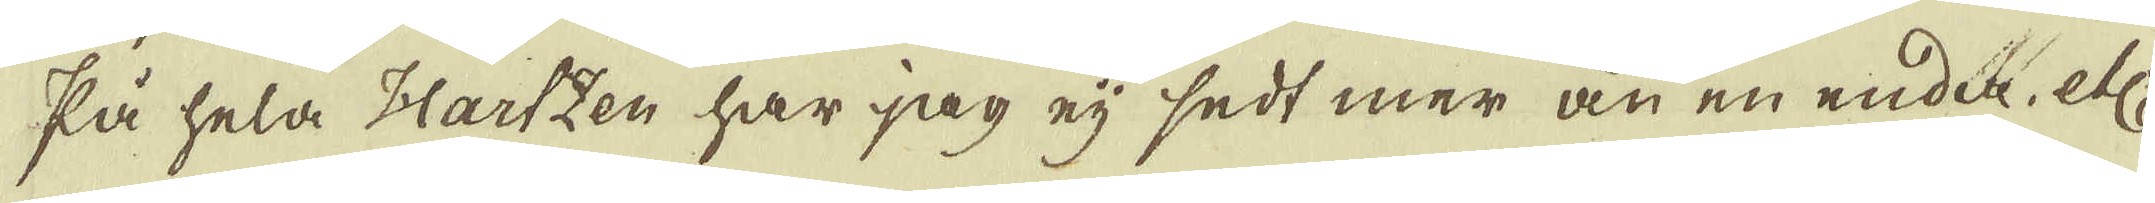På hela Hartzen har jag eij sedt mer än en enda etc
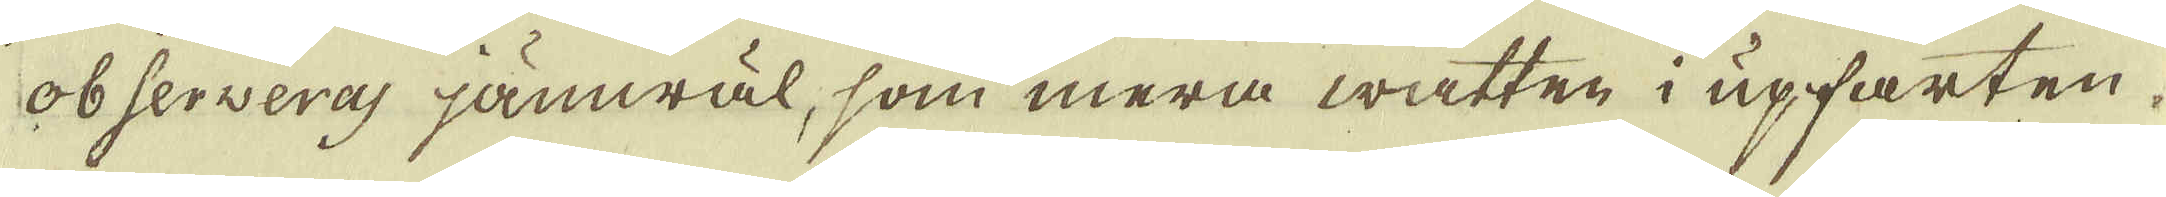observeras jämwäl, som mera watten i upfarten.
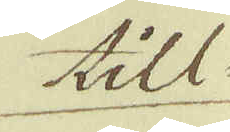till-
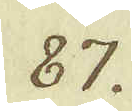87.
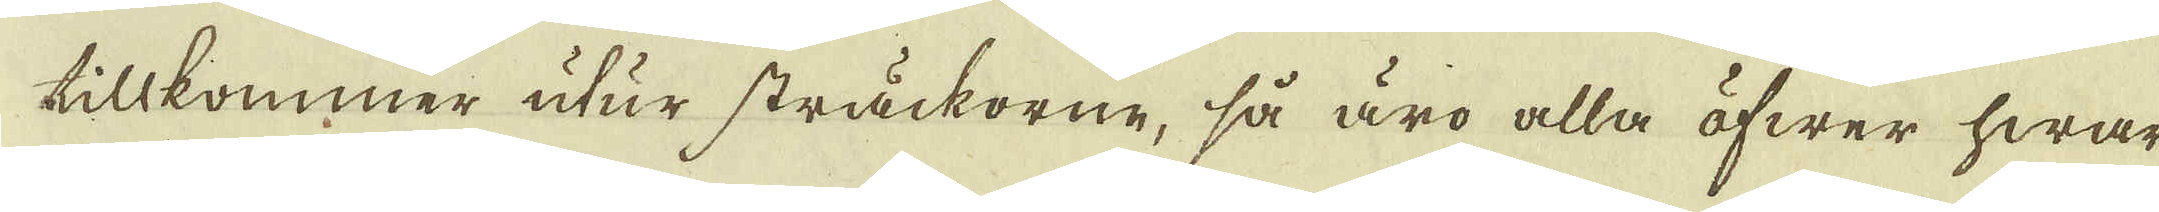tillkommer utur sträckorne, så äro alla öfwer hwar-
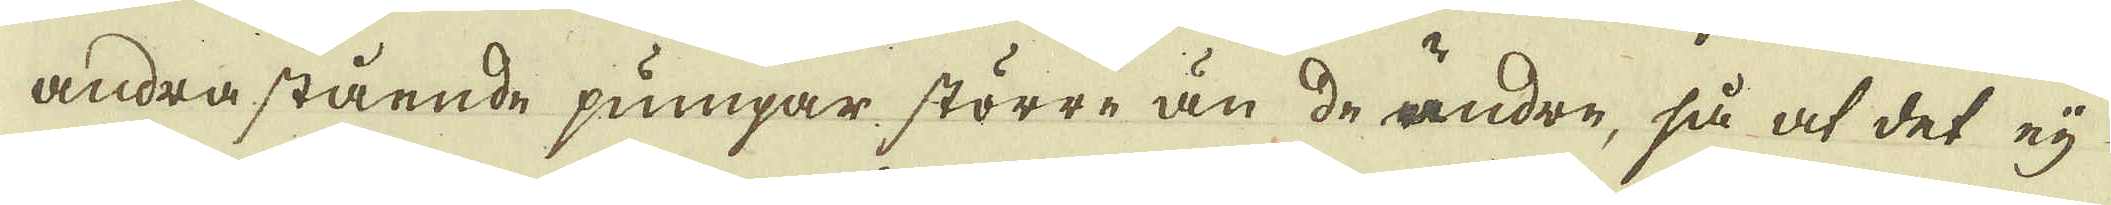andra stående pumpar större än de andre, så at det ej
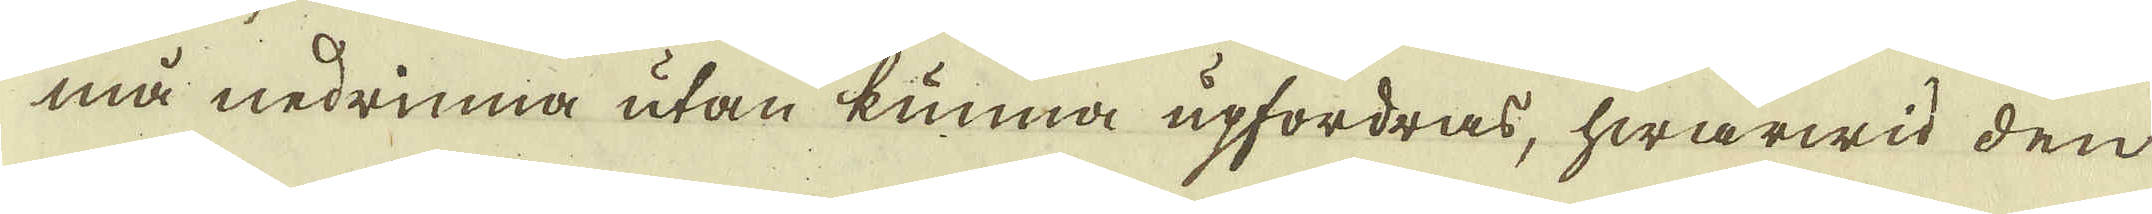må nedrinna utan kunna upfordras, hwarwid den
